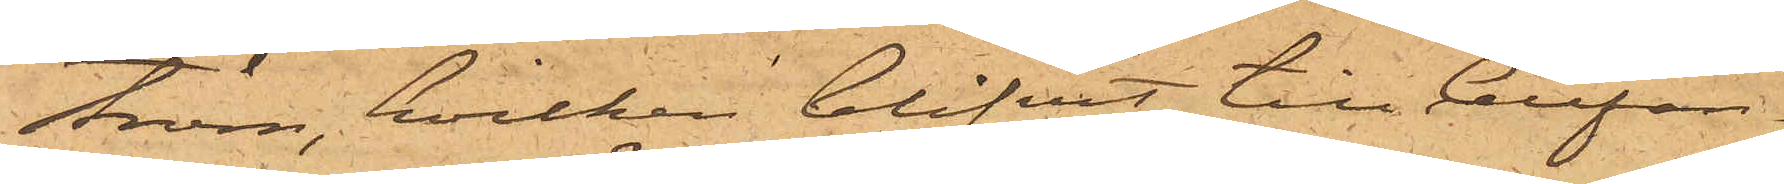ström, hvilken blifvit till Cellfän¬
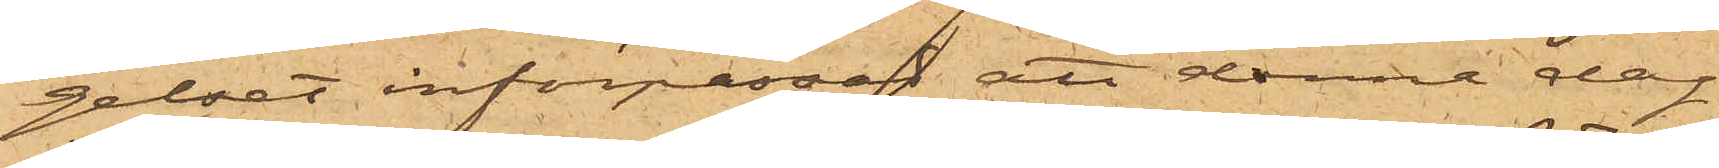gelset införpassad, att denna dag
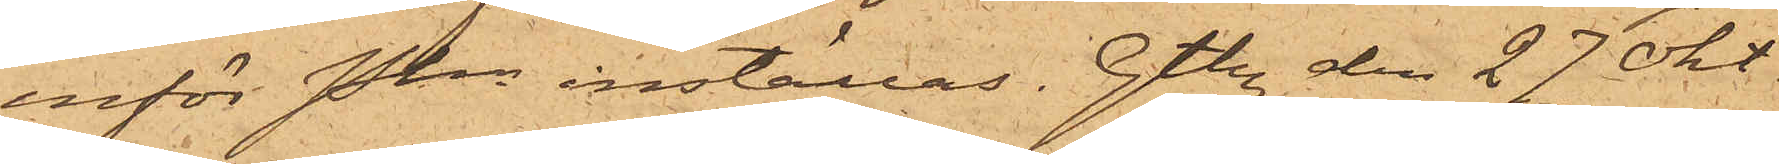inför Pkn inställas. Gtbg den 27 Okt
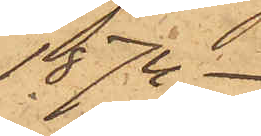1874.
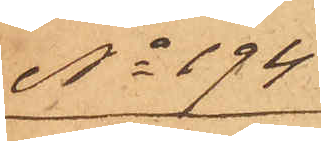No 194
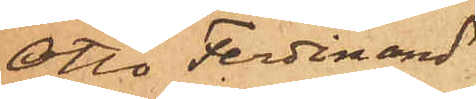Otto Ferdinand
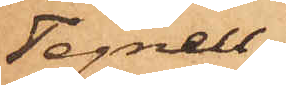Tegnell.
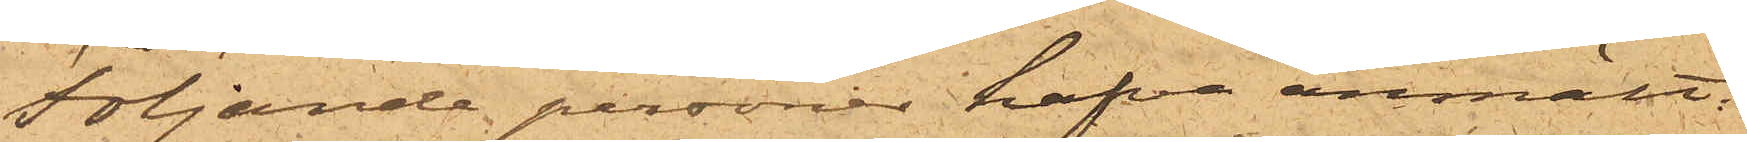Följande personer hafva anmält:
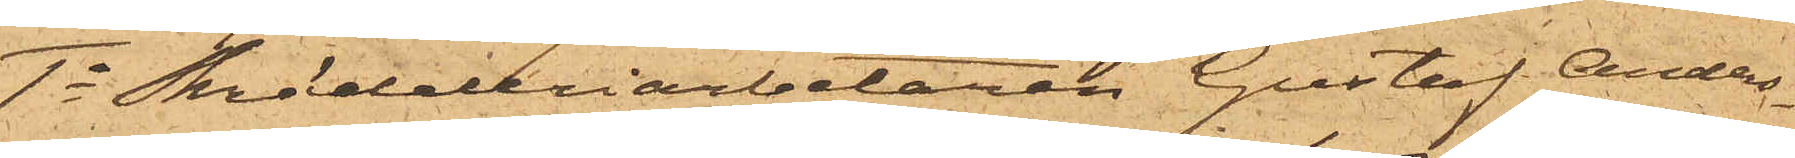1o Skrädderiarbetaren Gustaf Anders¬
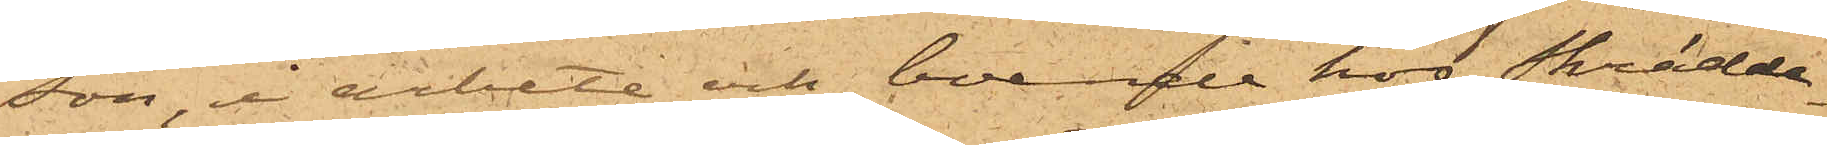son, i arbete och boende hos Skrädda¬
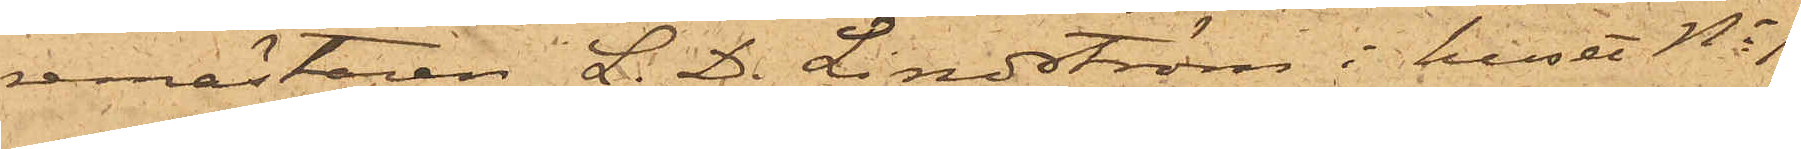remästaren L.D. Lindström i huset No 1
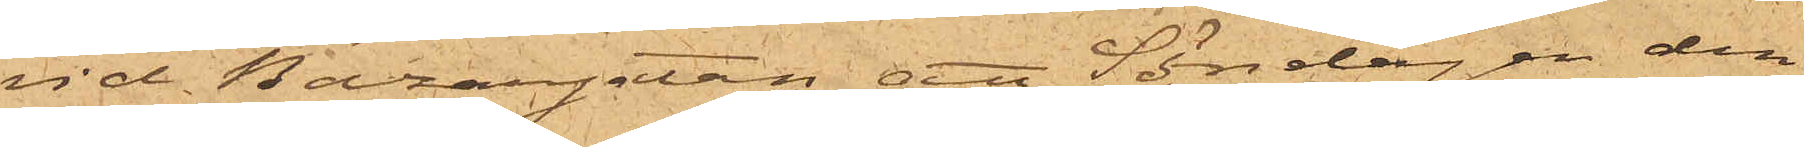vid Bazargatan, att Söndagen den
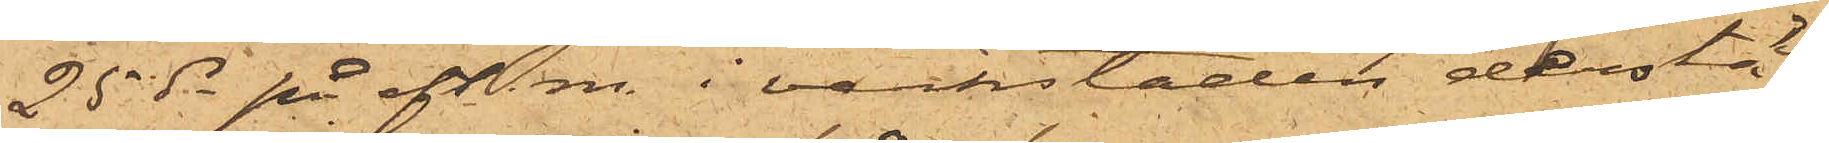25 ds på eft.m. i verkstaden derstä¬
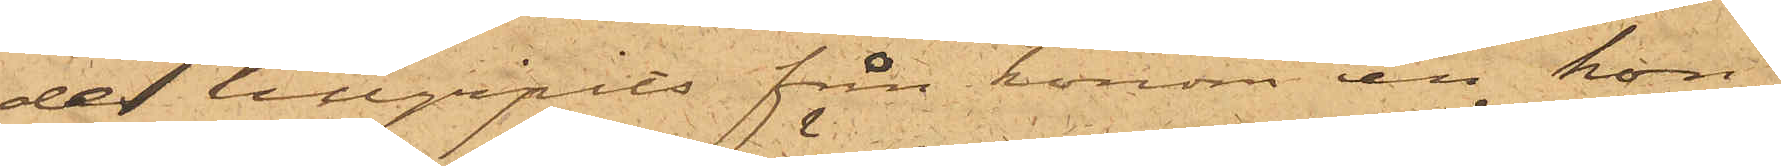des tillgripits från honom en kon¬
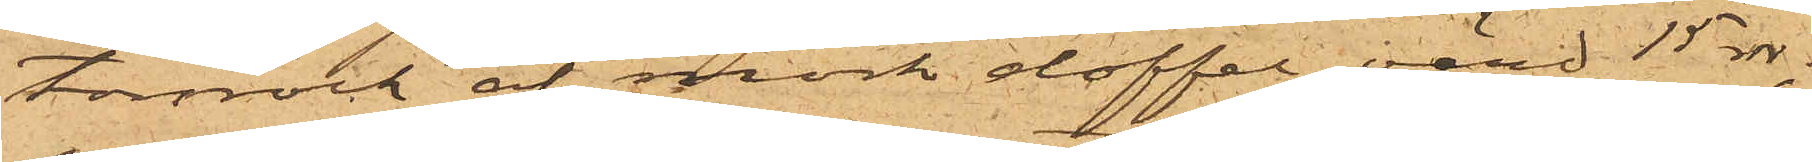torsrock af mörk doffel, värd 15 rdr;
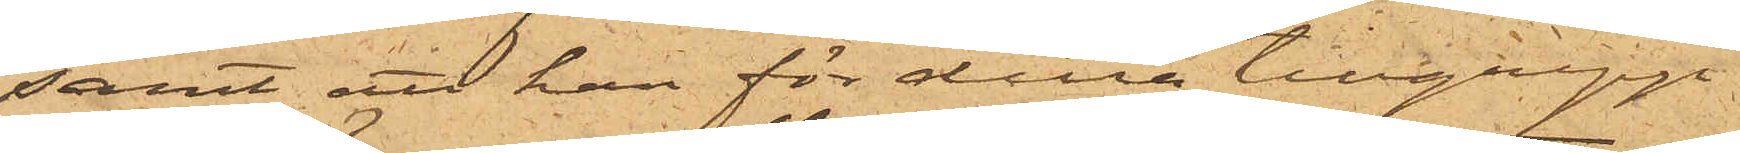samt att han för detta tillgrepp
